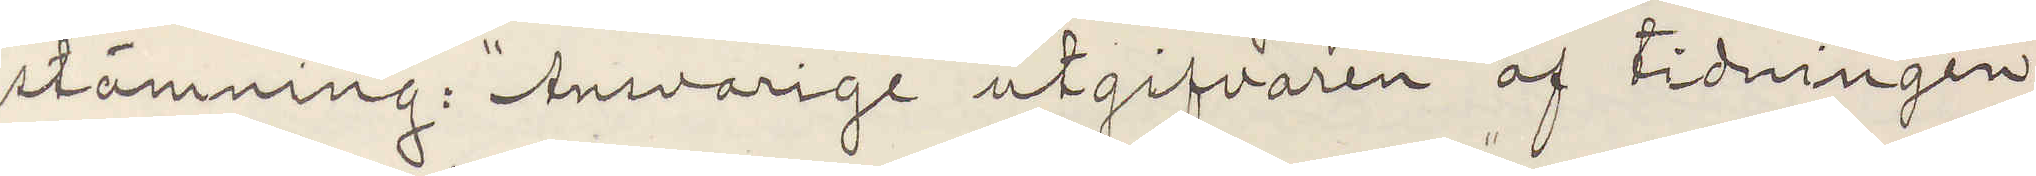stämning: "Ansvarige utgifvaren af tidningen
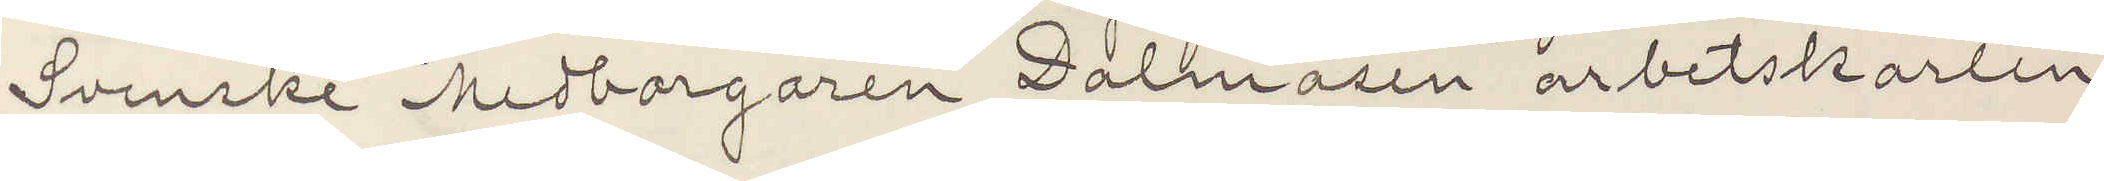Svenske Medborgaren Dalmasen" arbetskarlen
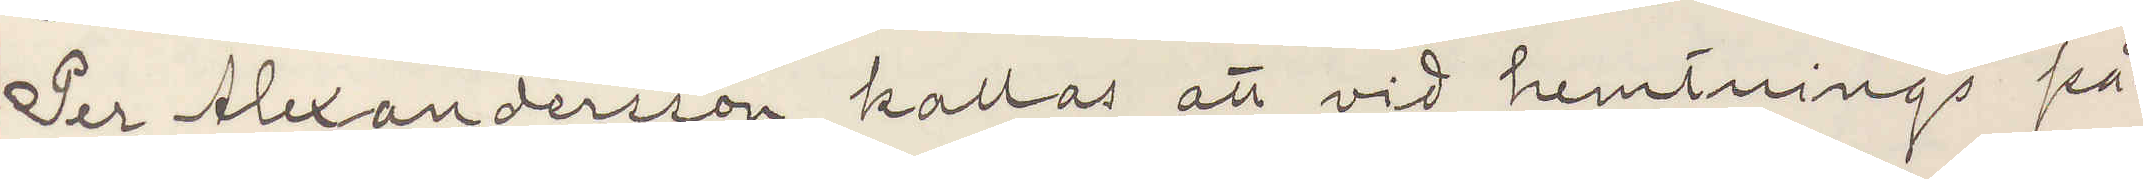Per Alexandersson kallas att vid hemtnings på¬
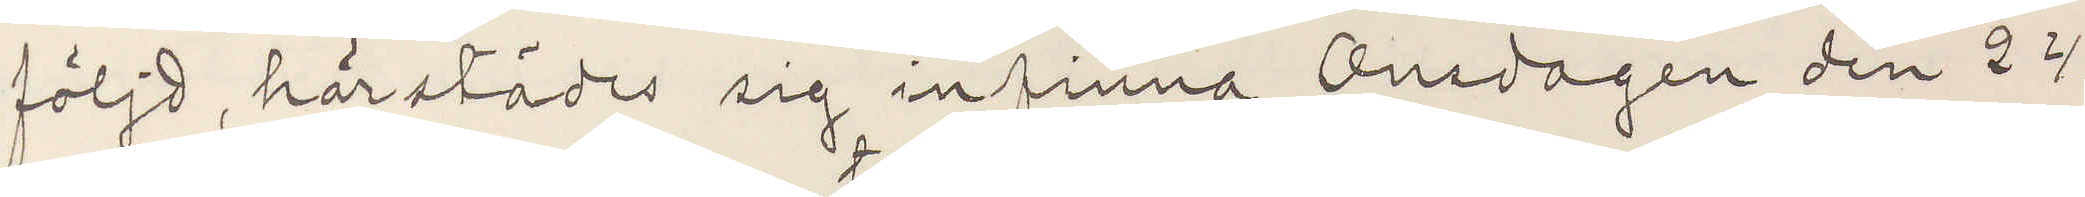följd härstädes sig infinna Onsdagen den 24
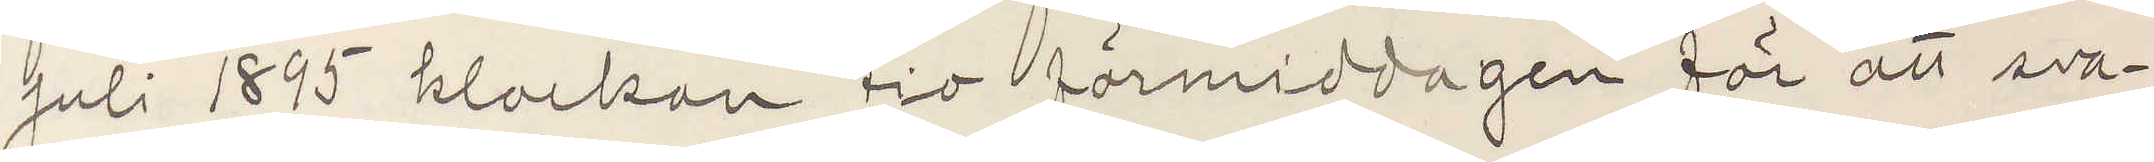Juli 1895 klockan tio förmiddagen för att sva¬
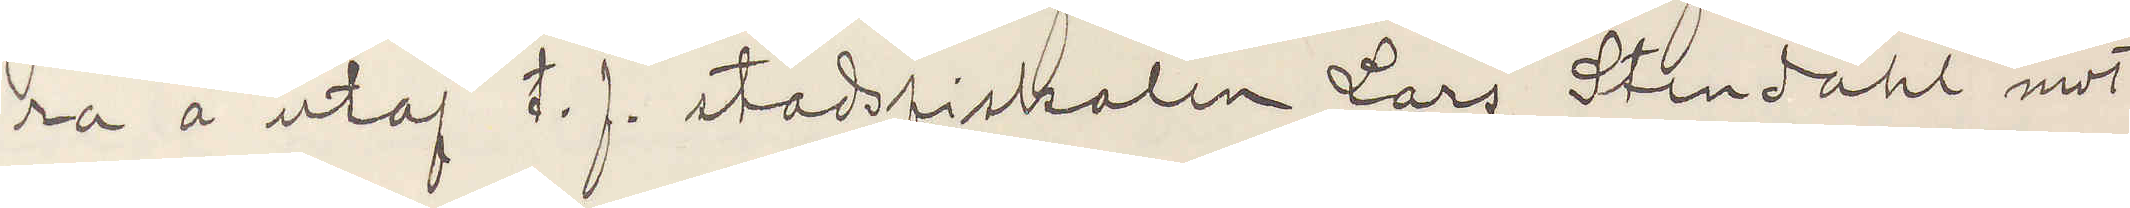ra å utaf  t. f. stadsfiskalen Lars Stendahl mot
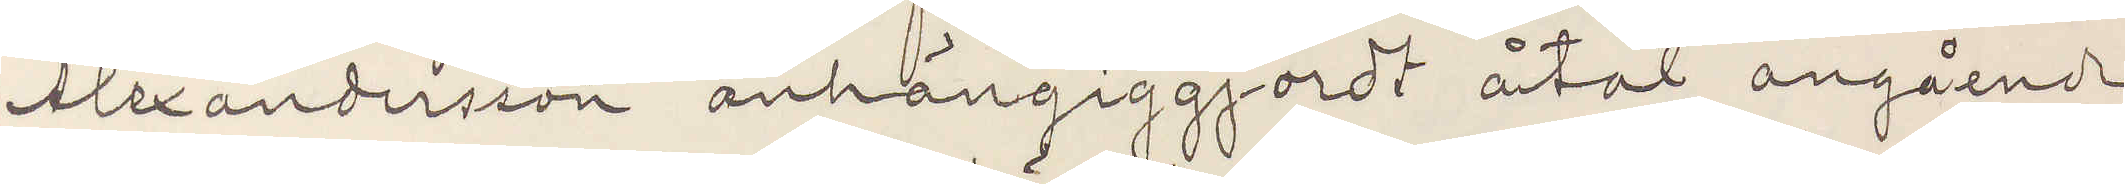Alexandersson anhängiggjordt åtal angående
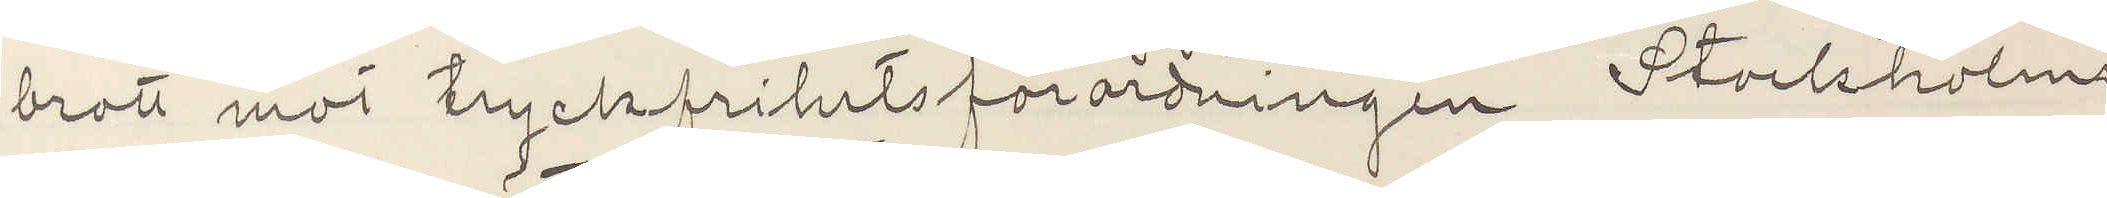brott mot tryckfrihetsförordningen Stockholm
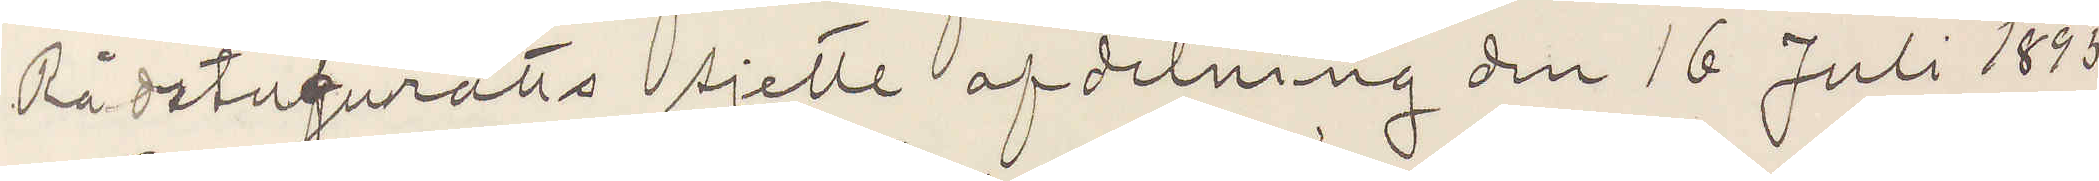Rådstufurätts sjette afdelning den 16 Juli 1895.
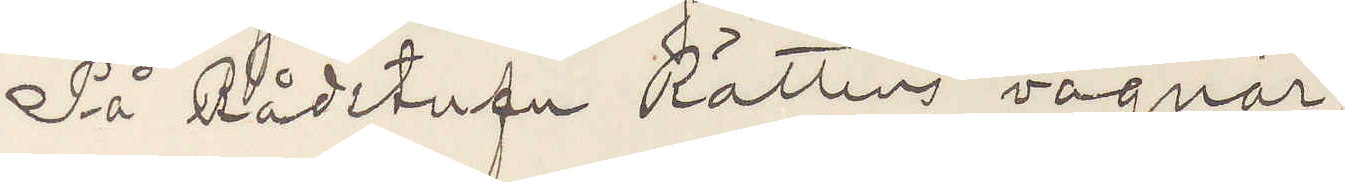På Rådstufu Rättens vagnär;
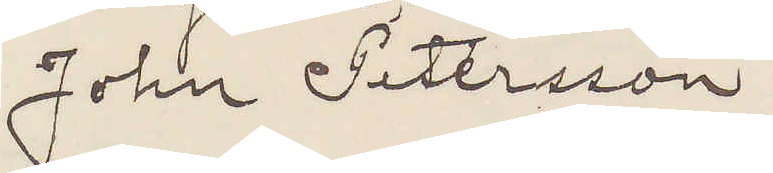John Pettersson"
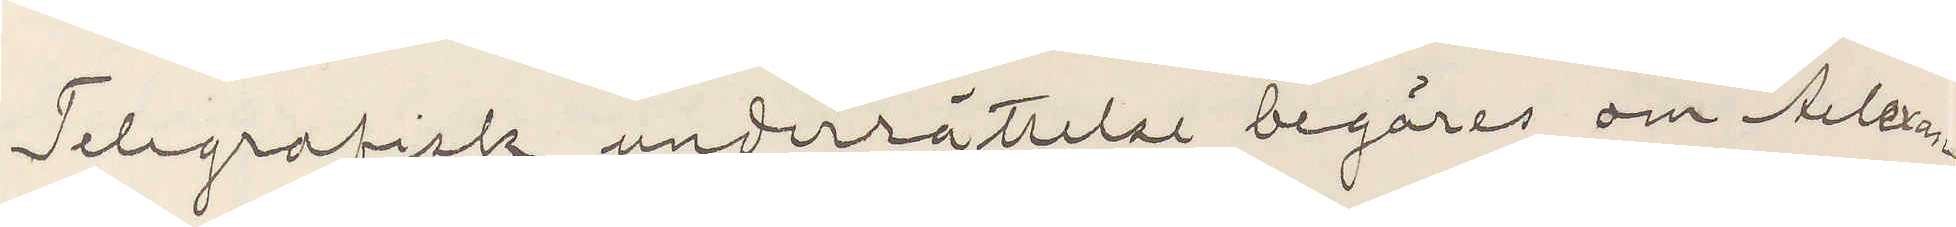Telegrafisk underrättelse begäres om Alexan¬
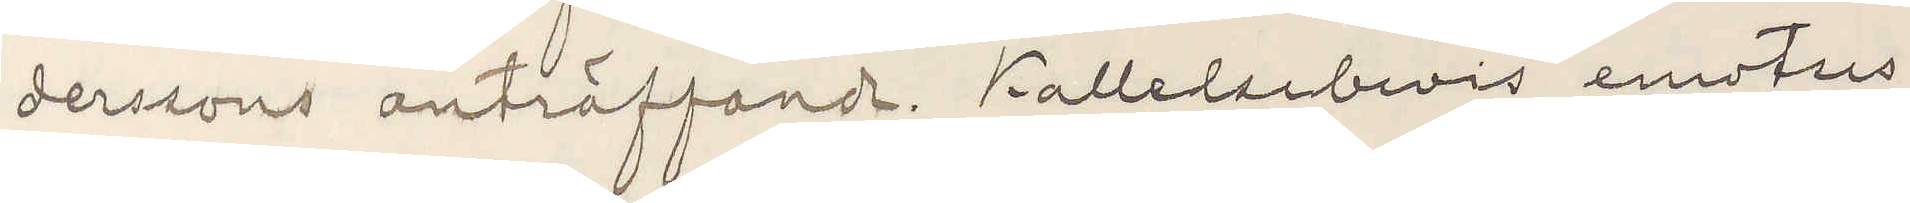derssons anträffade. Kallelsebevis emotses.
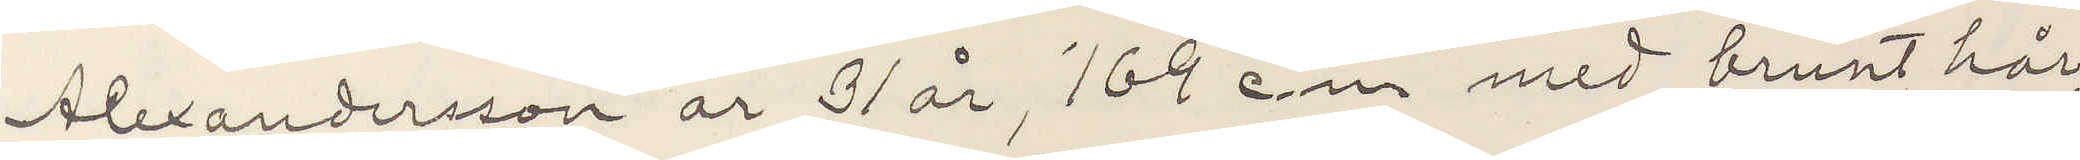Alexandersson är 31 år, 169 cm med brunt hår,
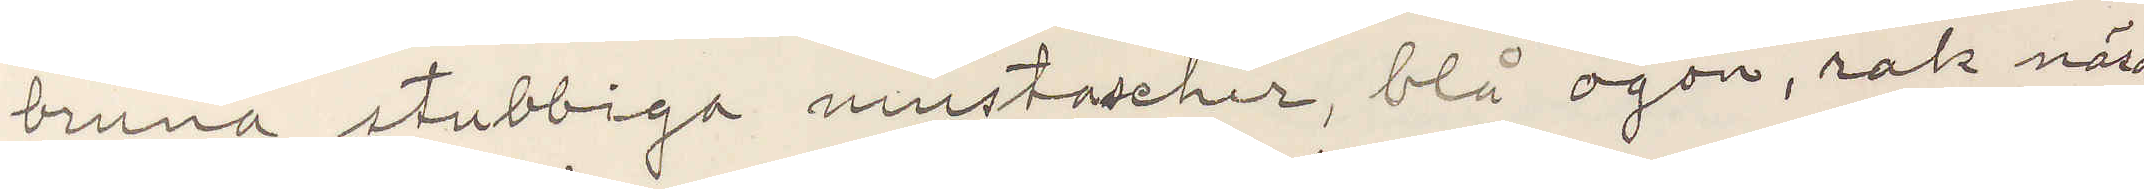bruna stubbiga mustascher, blå ögon, rak näsa
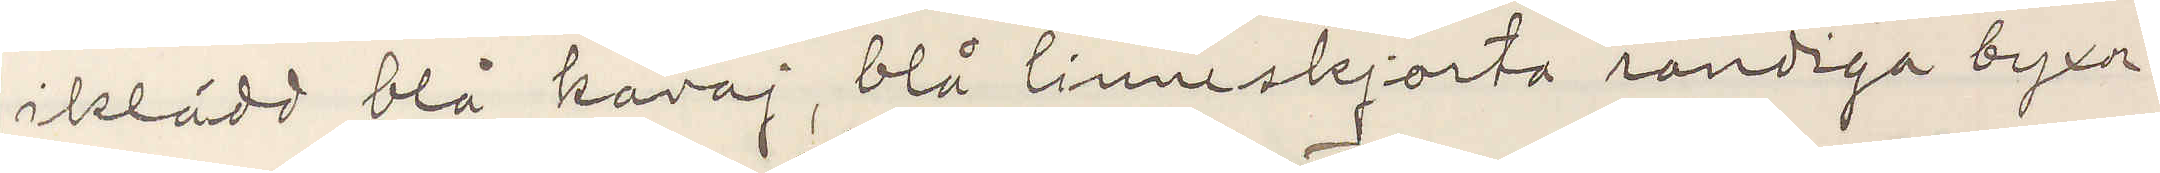iklädd blå kavaj, blå linneskjorta randiga byxor
